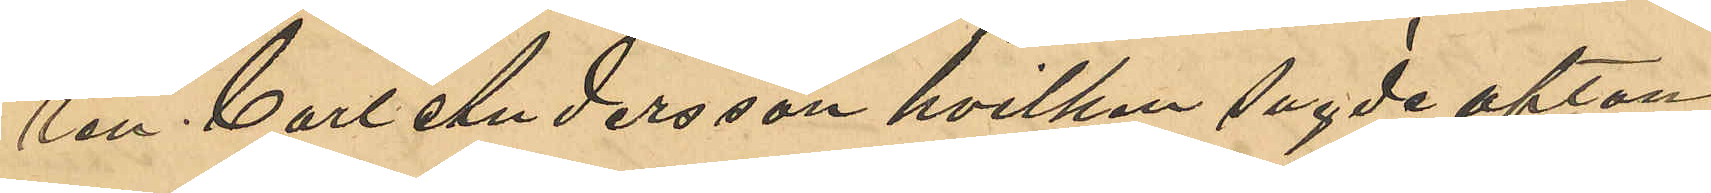ren Carl Andersson hvilken sagde afton
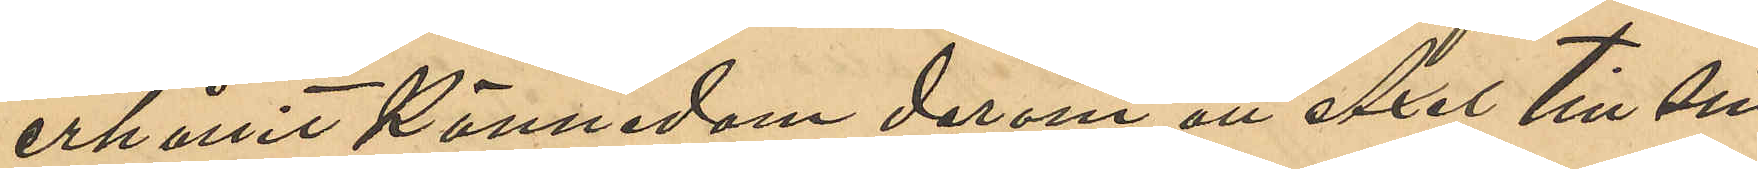erhållit kännedom derom att Axel till sin
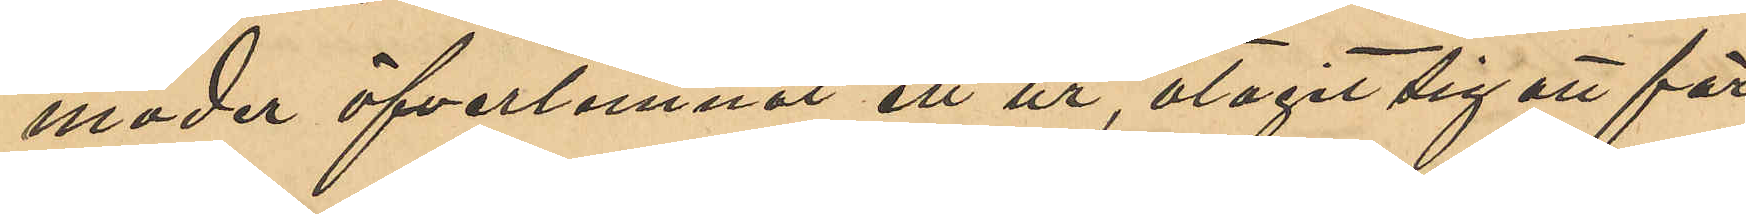moder öfverlemnat ett ur, åtagit sig att för¬
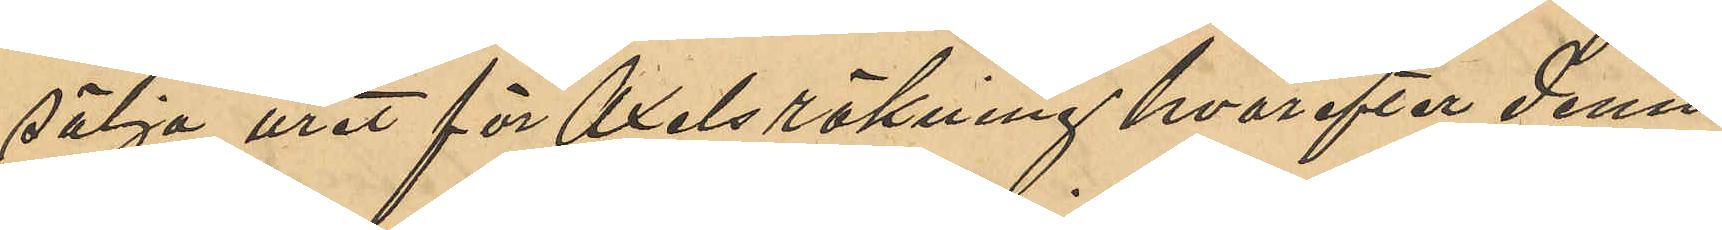sälja uret för Axels räkning hvarefter denne
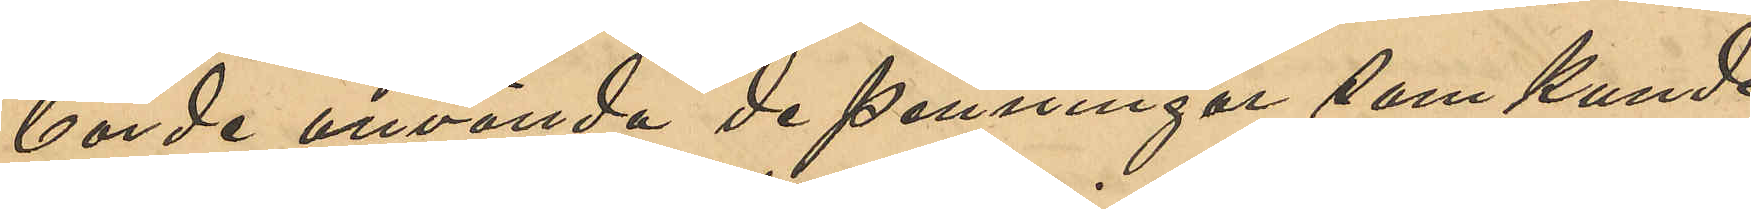borde använda de penningar som kunde
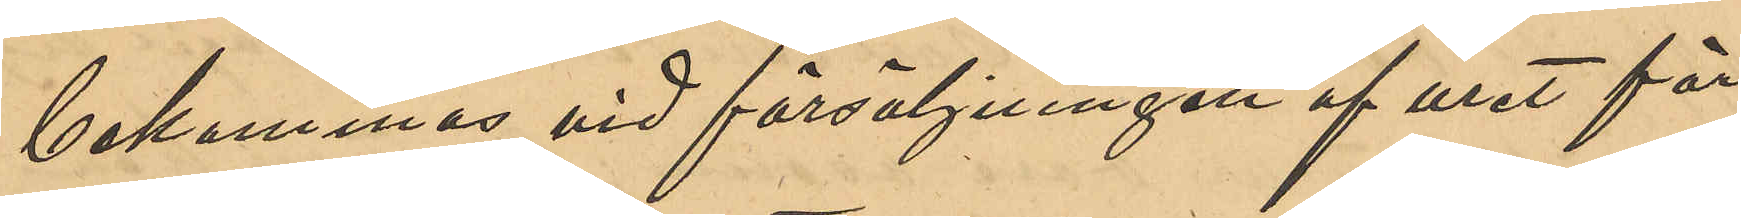bekommas vid försäljningen af uret för
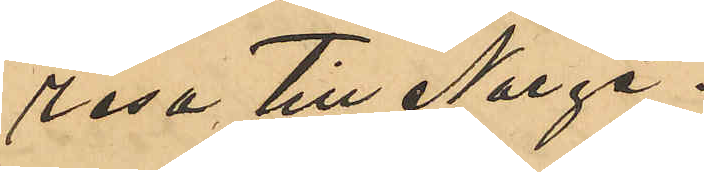resa till Norge.
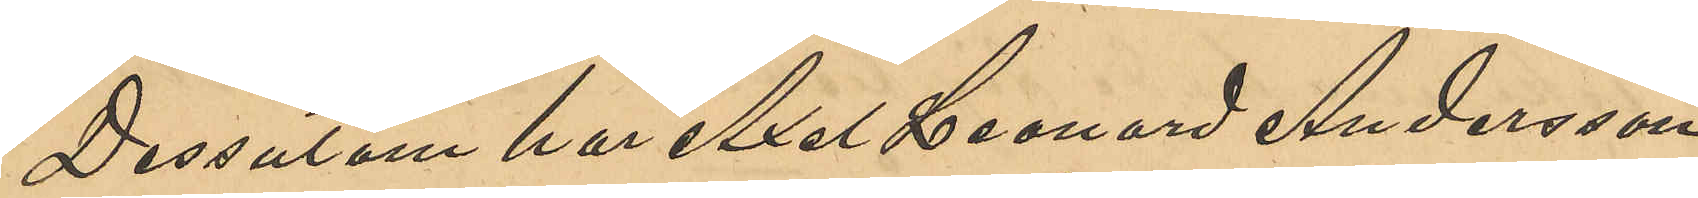Dessutom har Axel Leonard Andersson
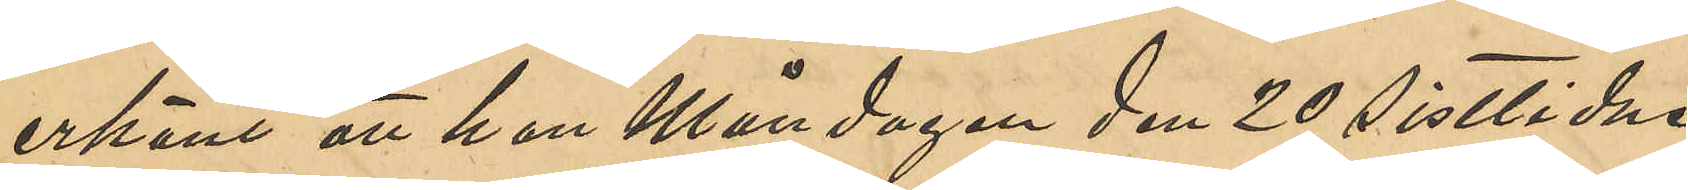erkänt att han Måndagen den 20 sistlidne
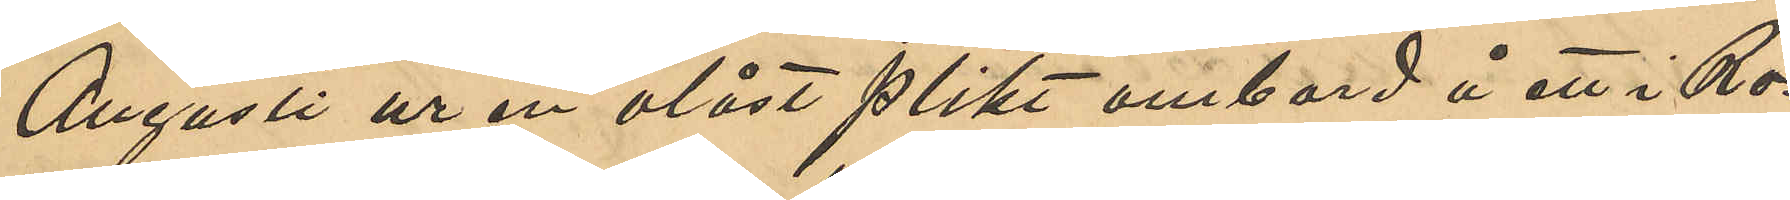Augusti ur en olåst plikt ombord å ett i Ro¬
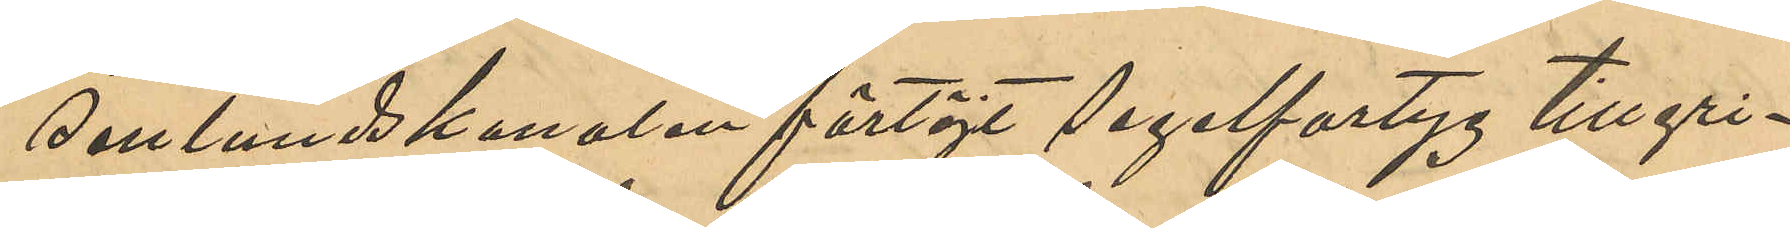senlundskanalen förtöjt segelfartyg tillgri¬
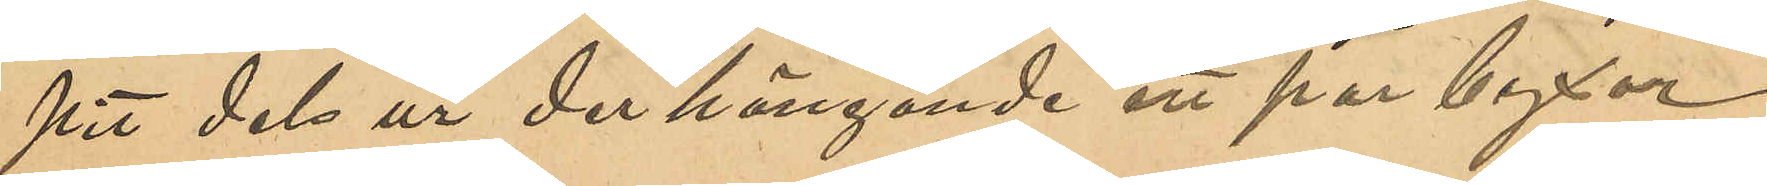pit dels ur der hängande ett par byxor
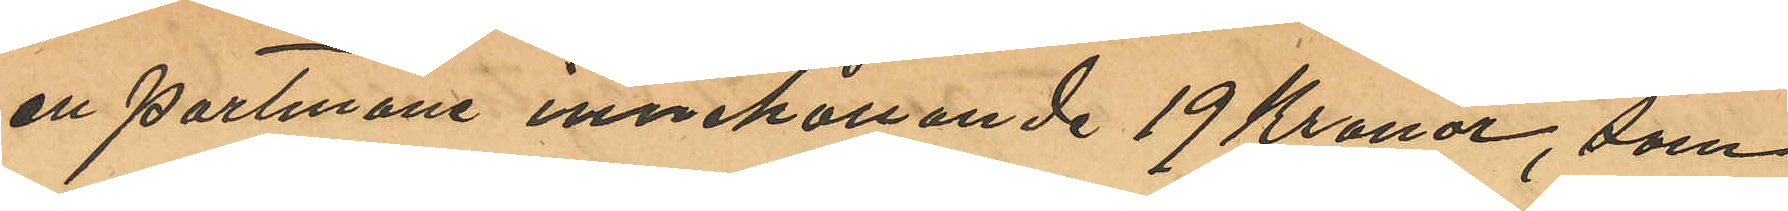en portmone innehållande 19 Kronor, som
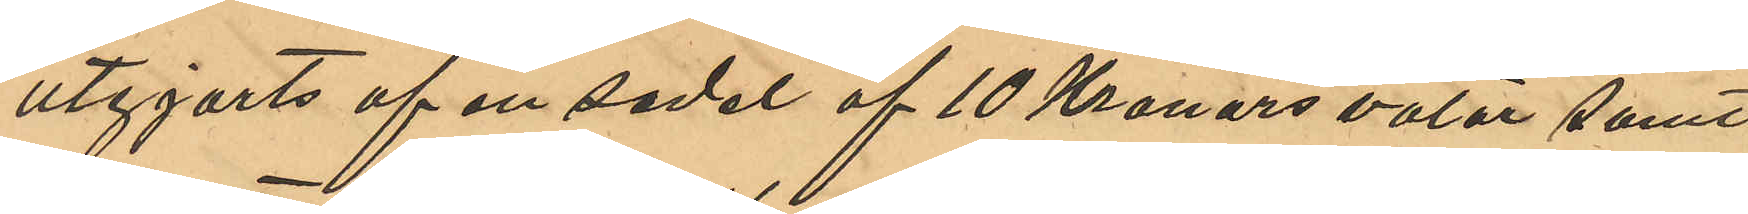utgjorts af en sedel af 10 Kronors valör samt
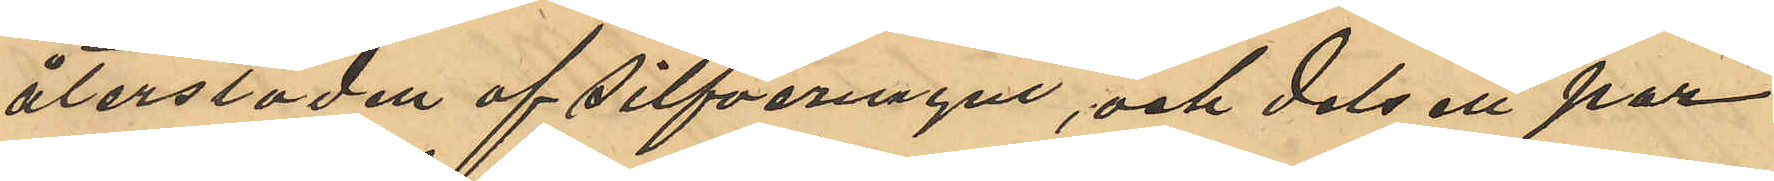återstoden af silfvermynt, och dels ett par
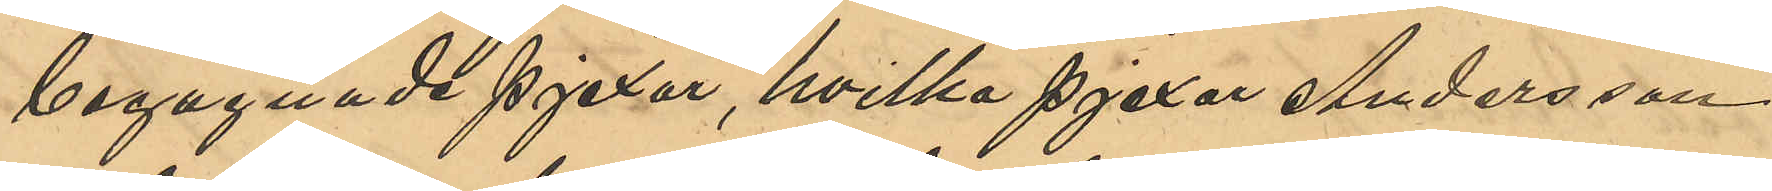begagnade pjexor, hvilka pjexor Andersson
